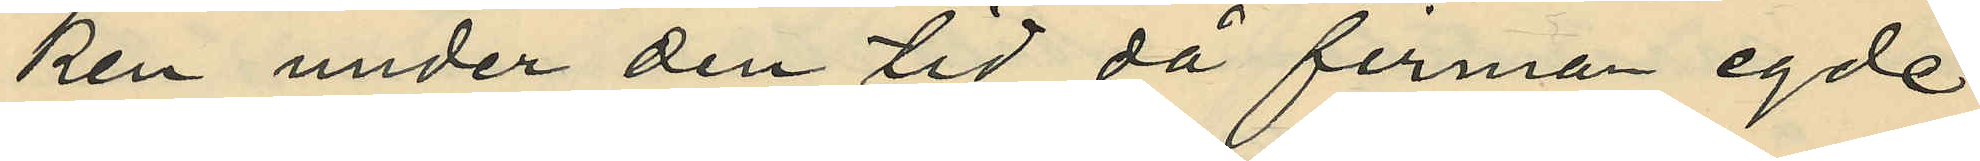ken under den tid då firman egde
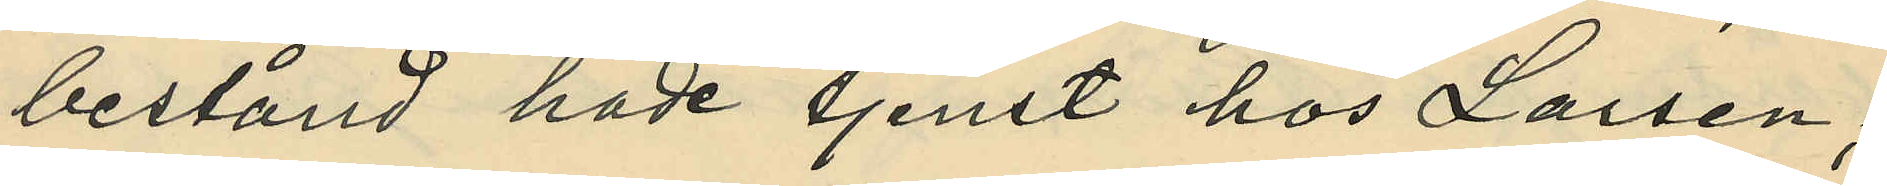bestånd hade tjenst hos Larsen;
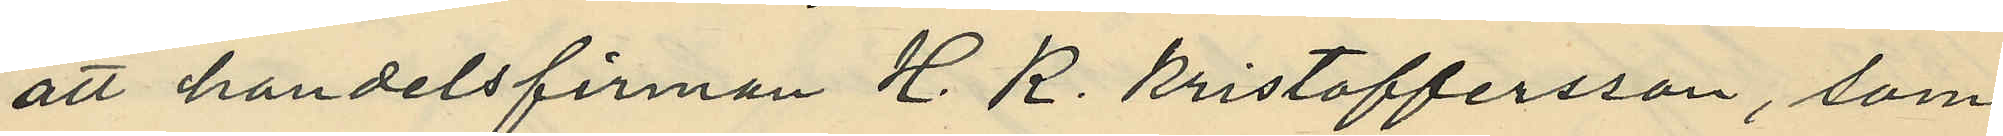att handelsfirman H. K. Kristoffersson, som
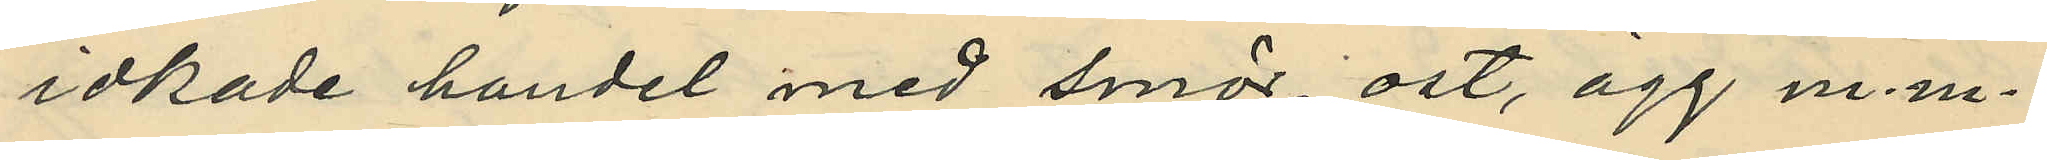idkade handel med smör, ost, ägg m. m. 
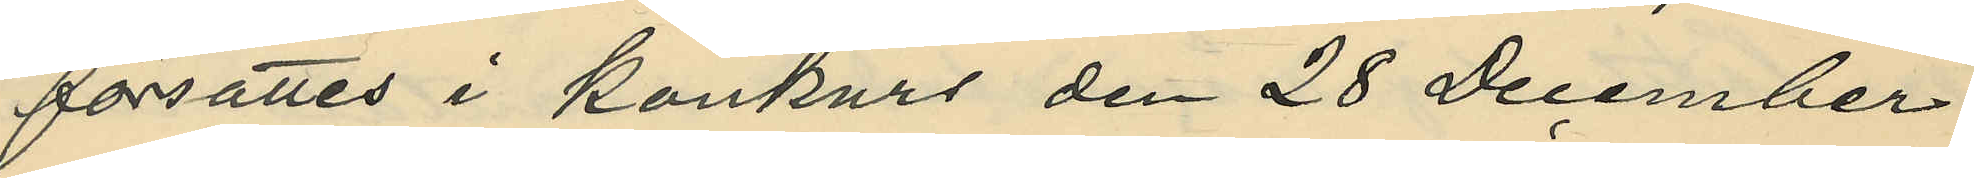försattes i konkurs den 28 December
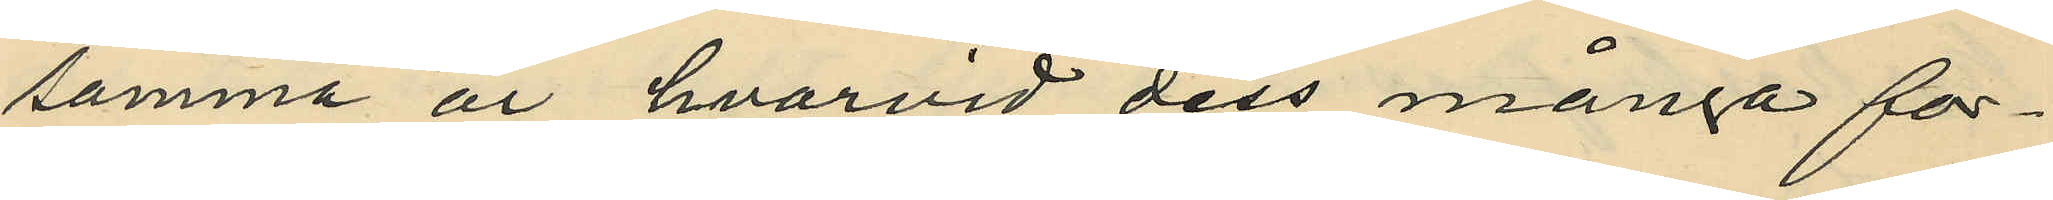samma år, hvarvid dess många for¬
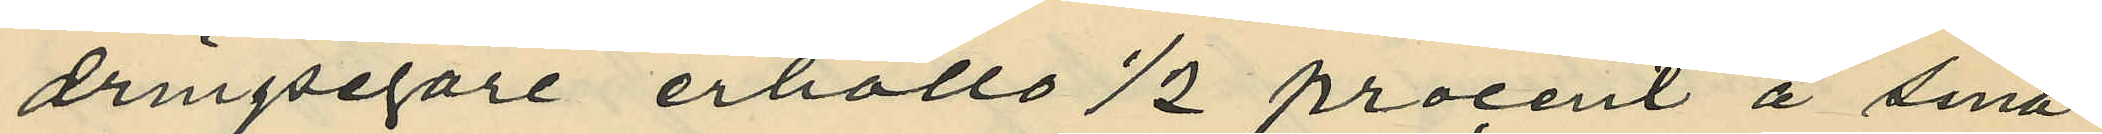dringsegare erhöllo 1/2 procent å sina
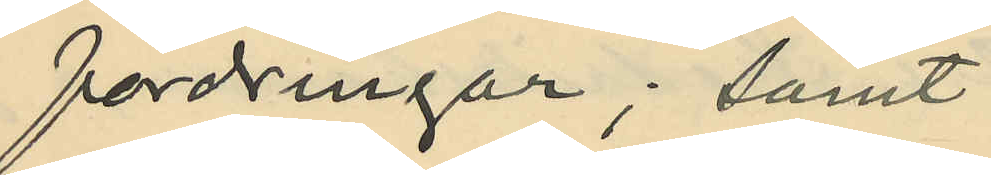fordringar; samt
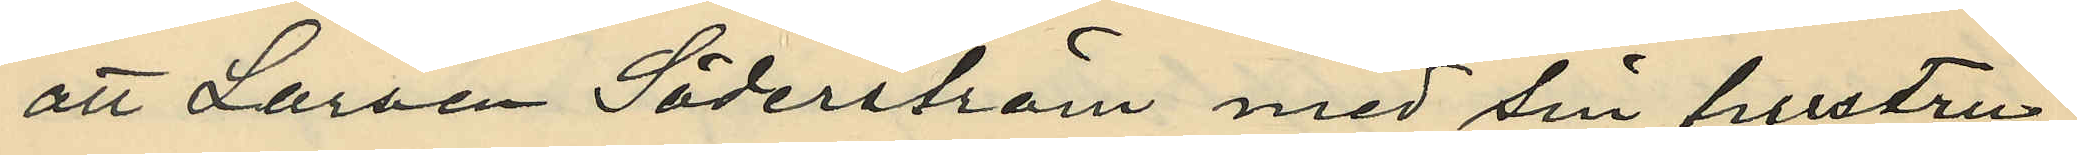att Larsen Söderström med sin hustru
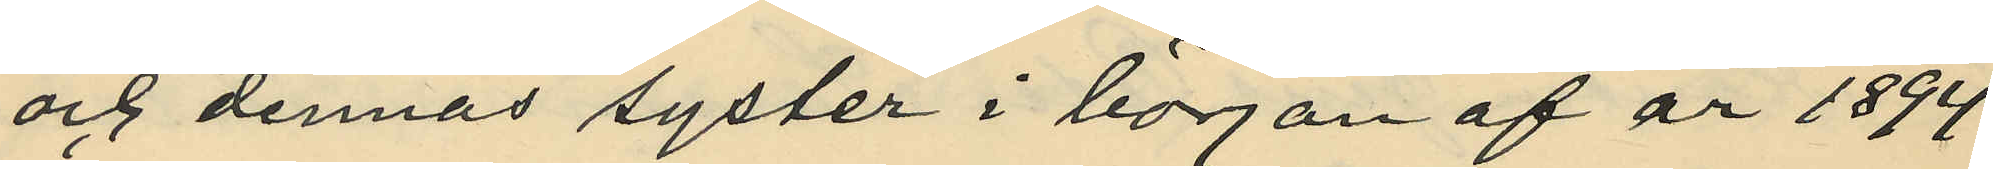och dennas syster i början af år 1894
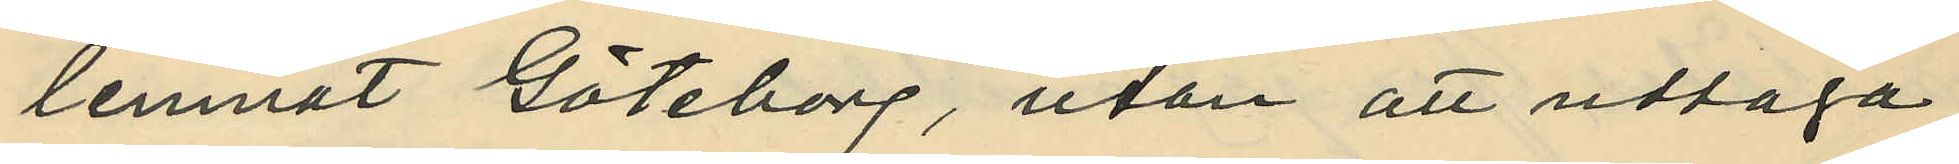lemnat Göteborg, utan att uttaga
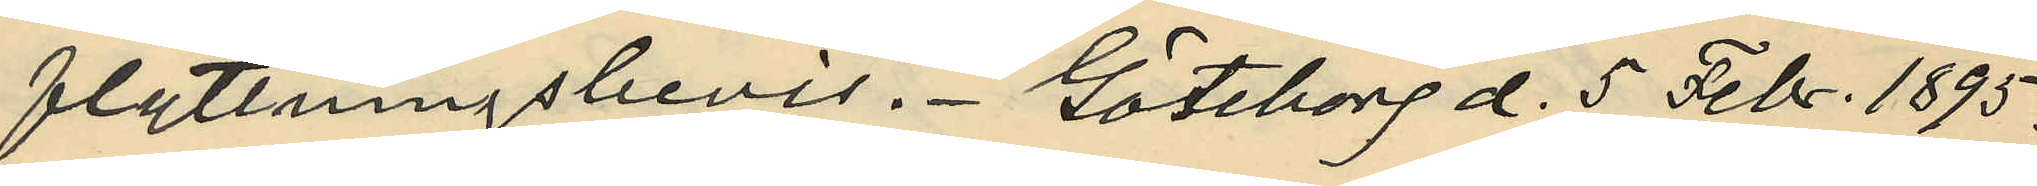flyttningsbevis. Göteborg d. 5 Febr. 1895.
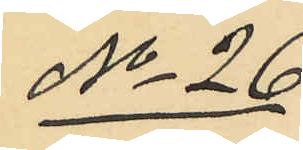No 26
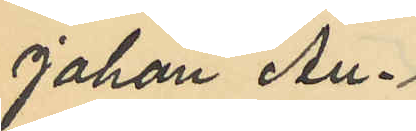Johan Au¬
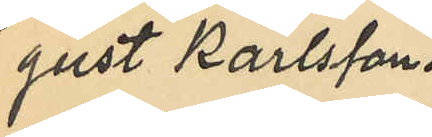gust Karlsson.
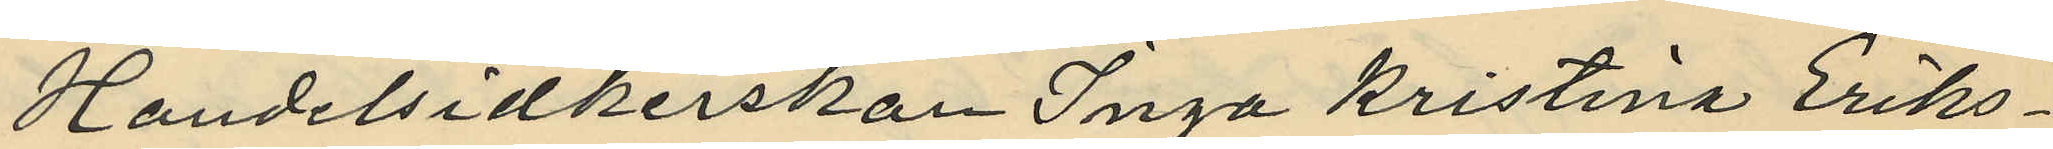Handelsidkerskan Inga Kristina Eriks¬
